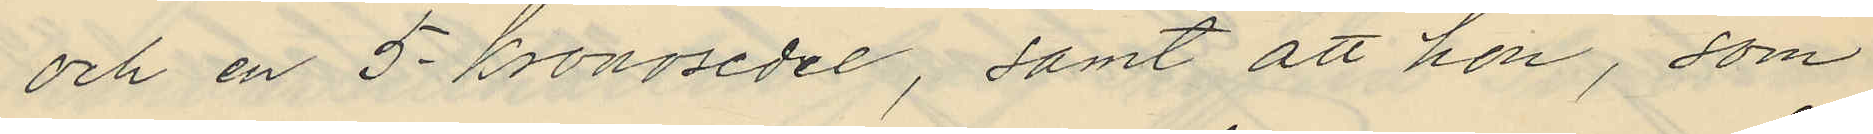och en 5-kronosedel, samt att hon, som
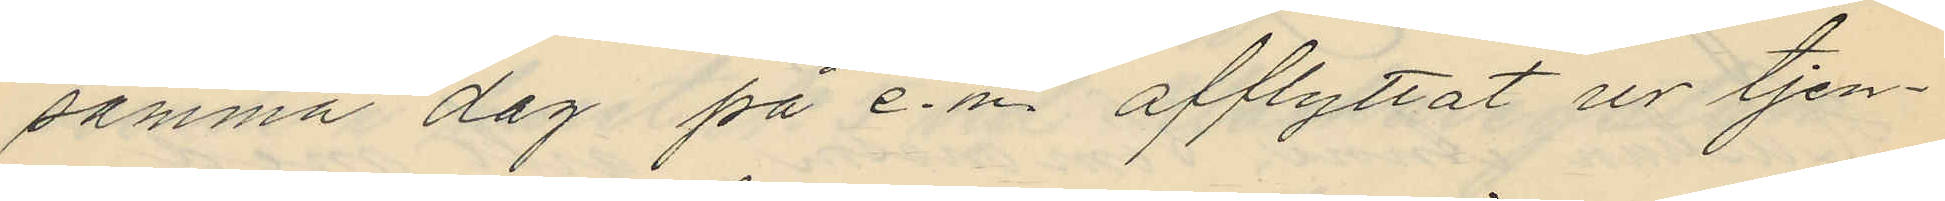samma dag på e.m. afflyttat ur tjen¬
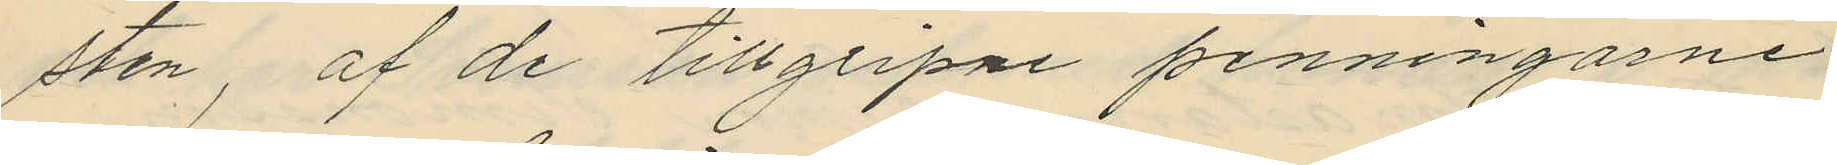sten, af de tillgripne penningarne
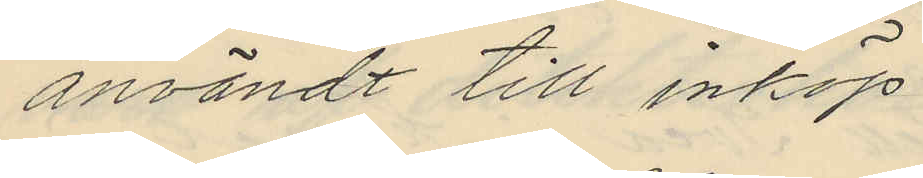användt till inköp
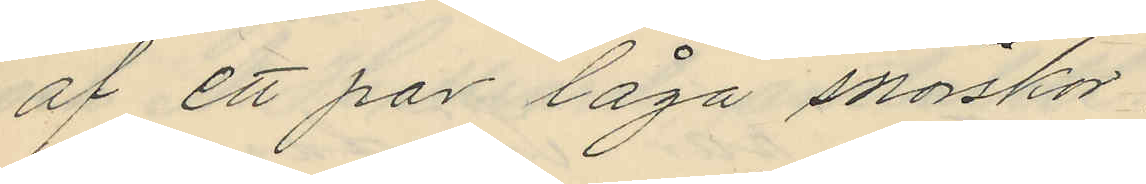af ett par låga snörskor
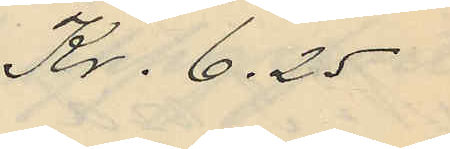Kr. 6.25
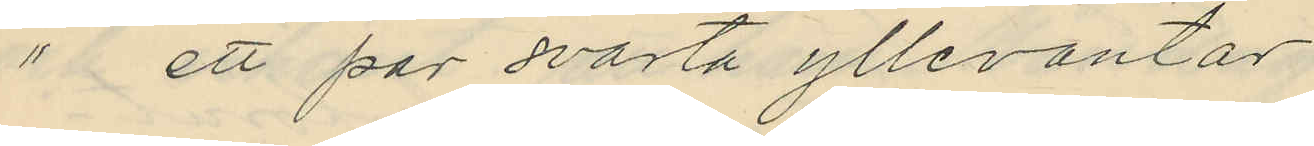" ett par svarta yllevantar
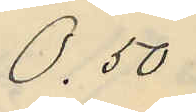0.50
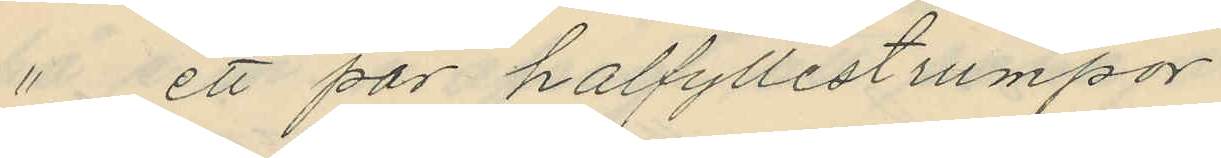" i ett par halfyllestrumpor
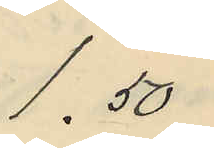1.50
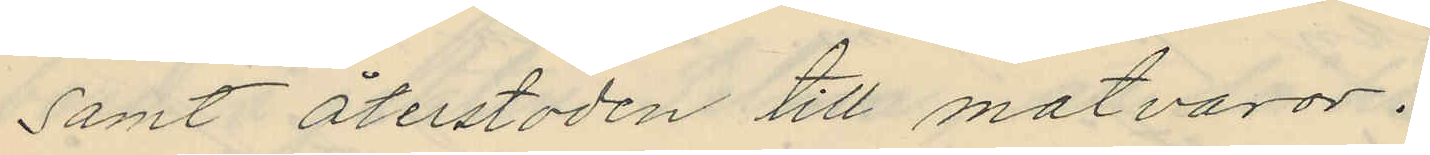samt återstoden till matvaror.
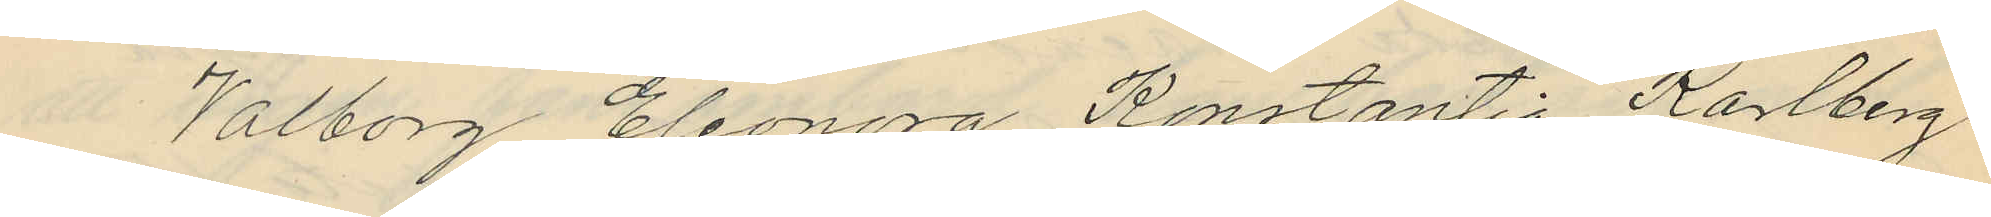Valborg Eleonora Konstantia Karlberg
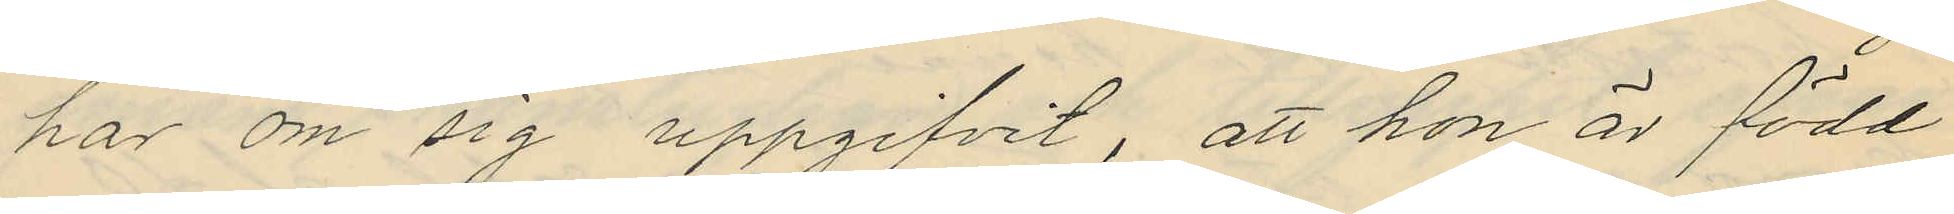har om sig uppgifvit, att hon är född
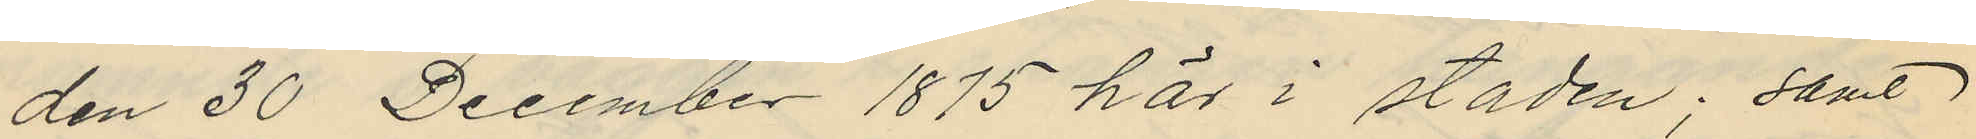den 30 December 1875 här i staden; samt
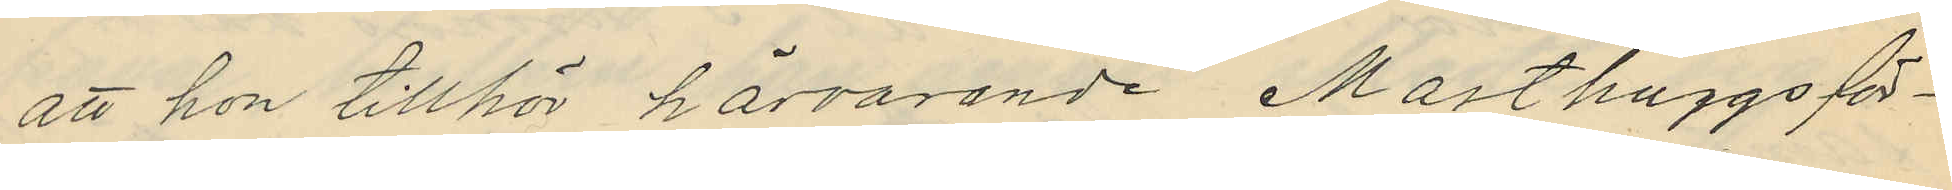att hon tillhör härvarande Masthuggsför¬
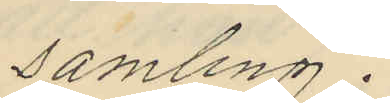samling.
